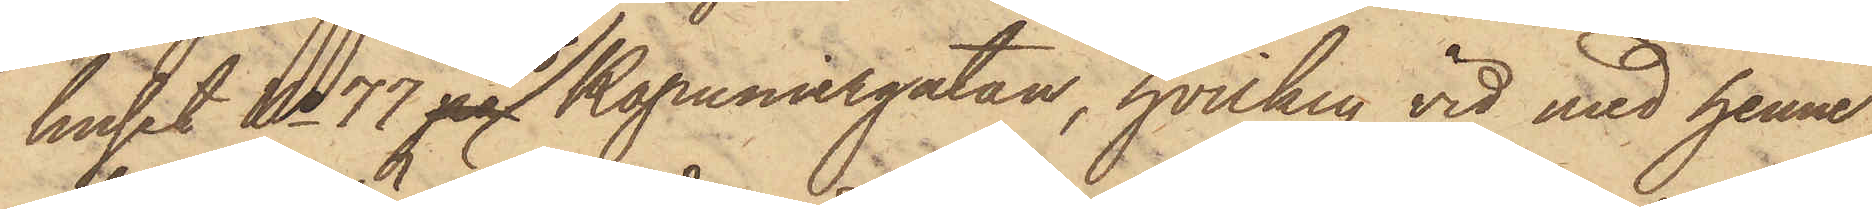huset No 77 pa vid Kapuniergatan, hvilken vid med henne
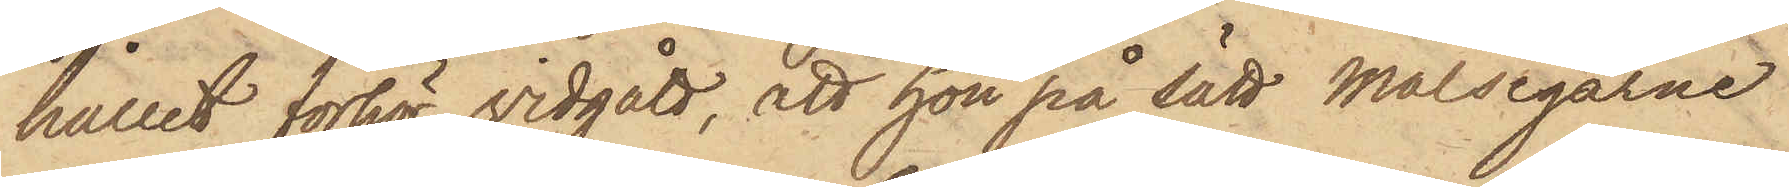hållit förhör vidgått, att hon på sätt Målsegarne
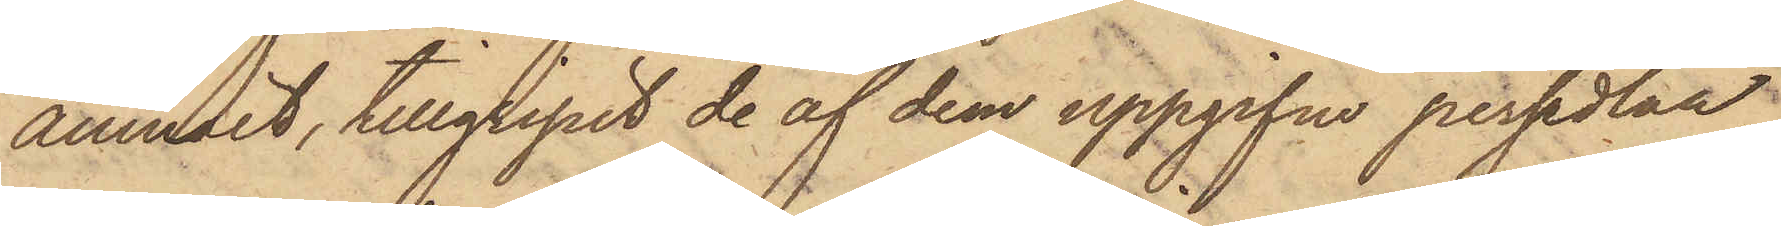anmält, tillgripit de af dem uppgifne persedlar,
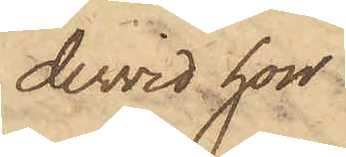dervid hon
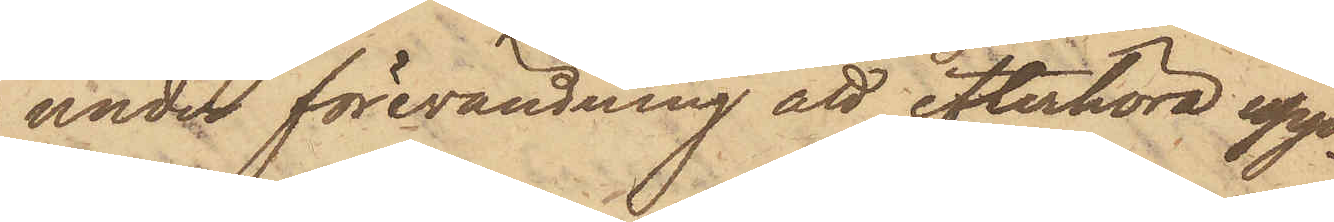under förevändning att efterhöra upp¬
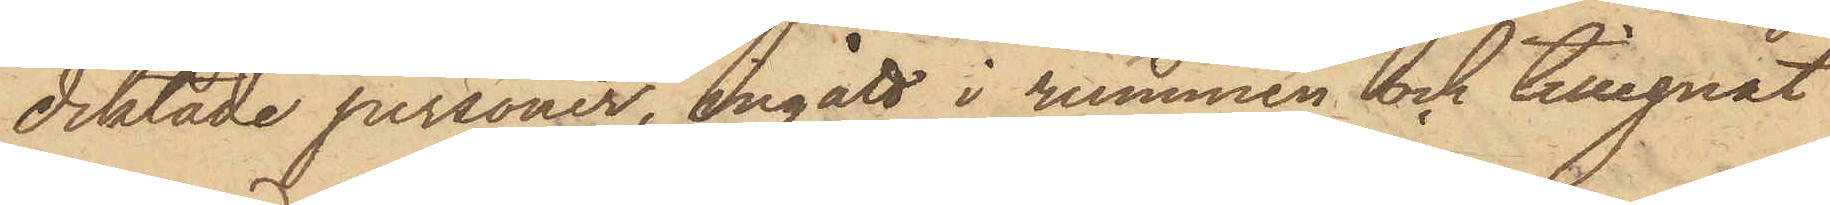diktade personer, ingått i rummen och tillegnat
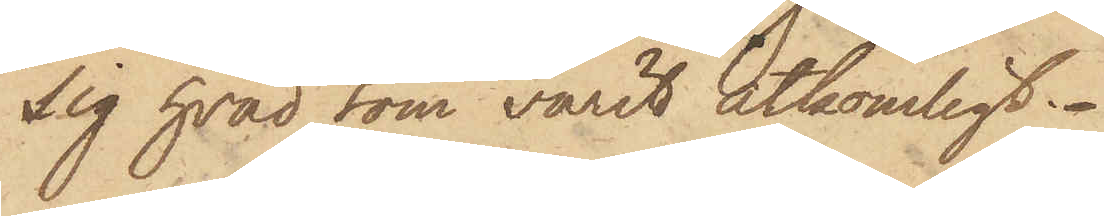sig hvad som varit åtkomligt.
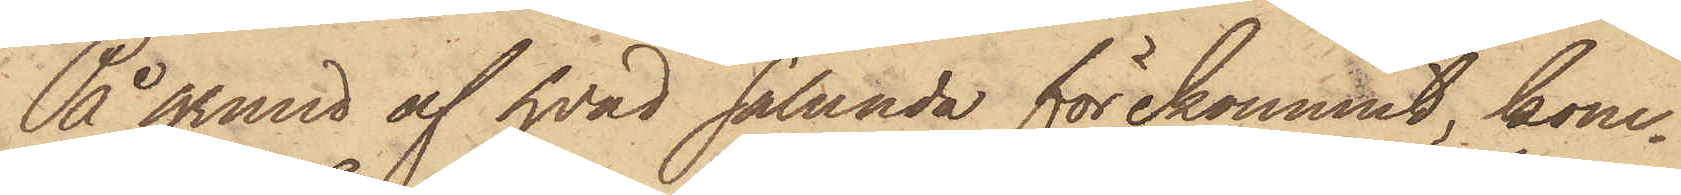På grund af hvad sålunda förekommit, kom¬
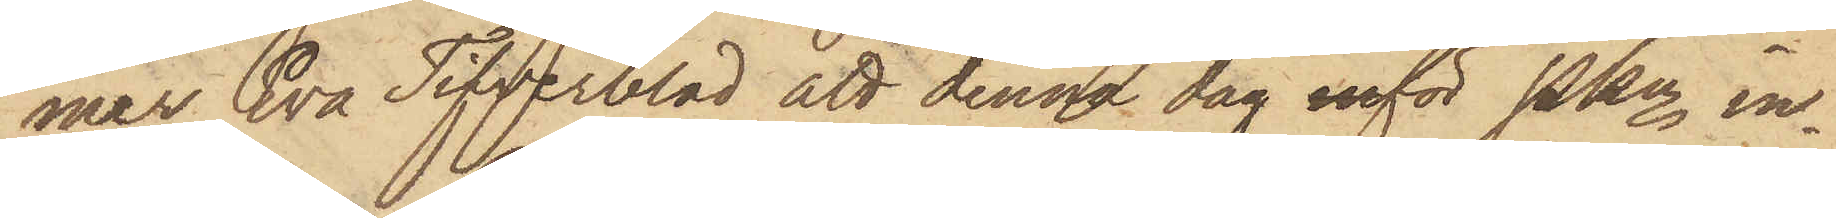mer Eva Tifverblad att denna dag inför PKn in¬
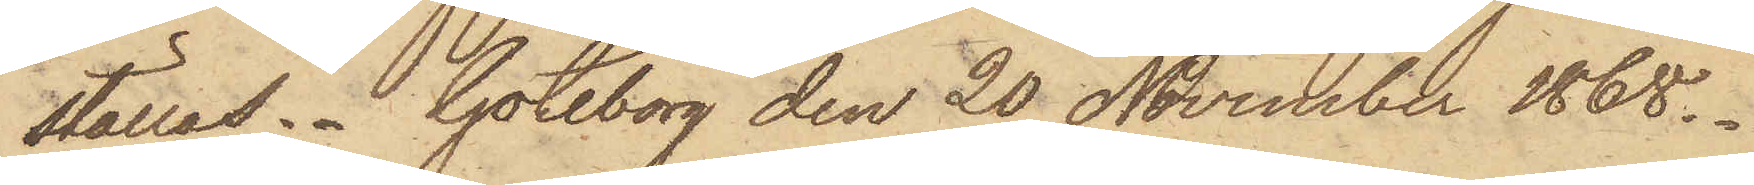ställas. Göteborg den 20 November 1868.
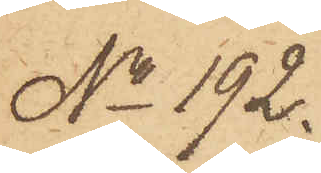No 192.
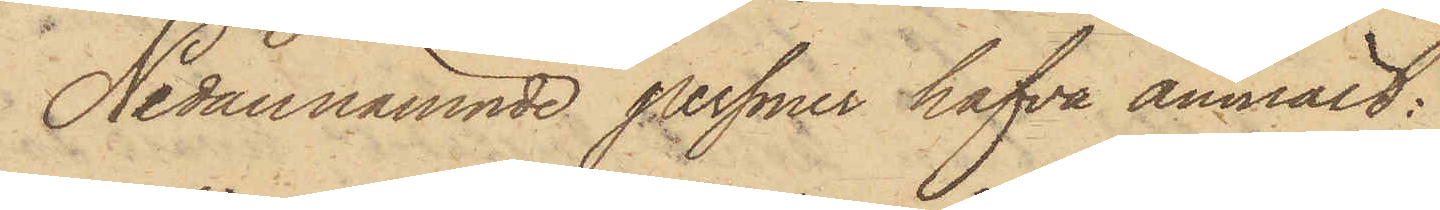Nedannämnde personer hafva anmält:
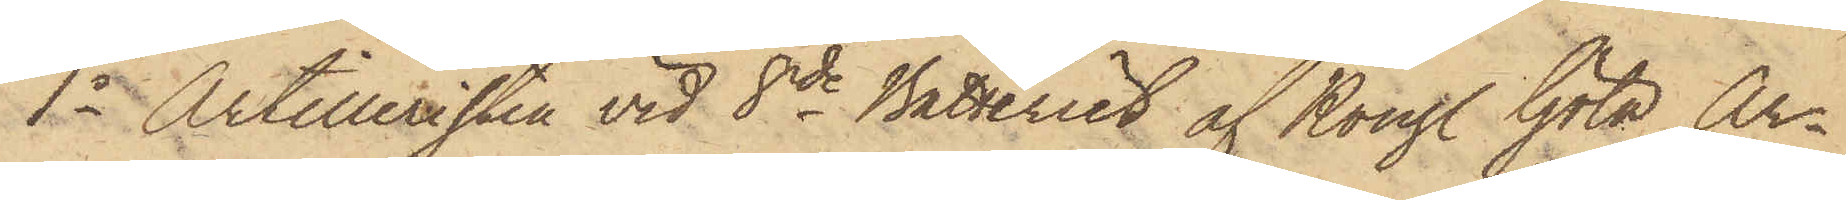1o Artilleristen vid 8de Batteriet af Kongl. Göta Ar¬
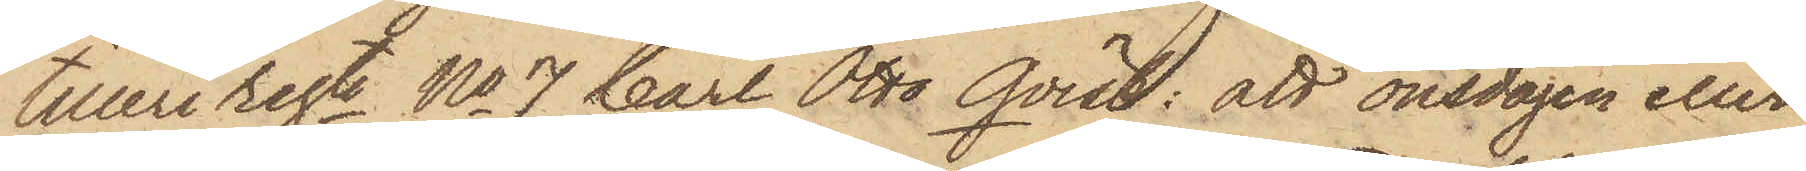tilleri regte No 7 Carl Otto Qvist: att onsdagen eller
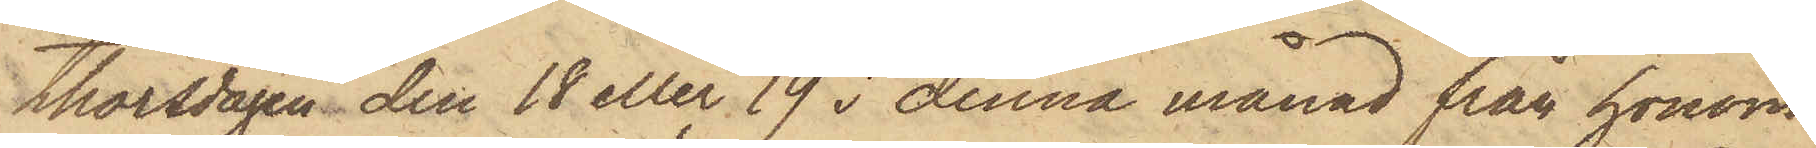thorsdagen den 18 eller 19 i denna månad från honom
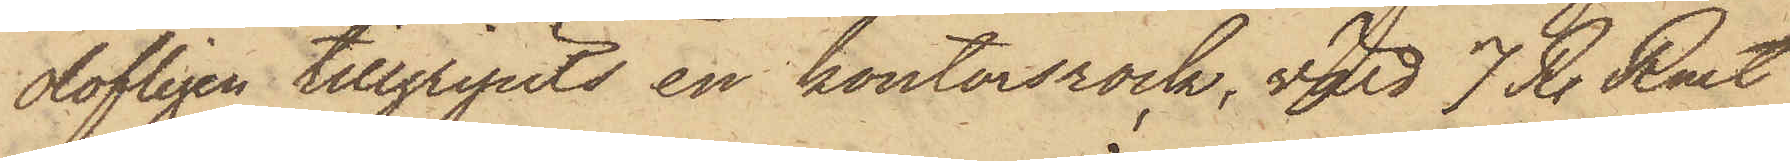olofligen tillgripits en kontorsrock, värd 7 R. Rmt,
